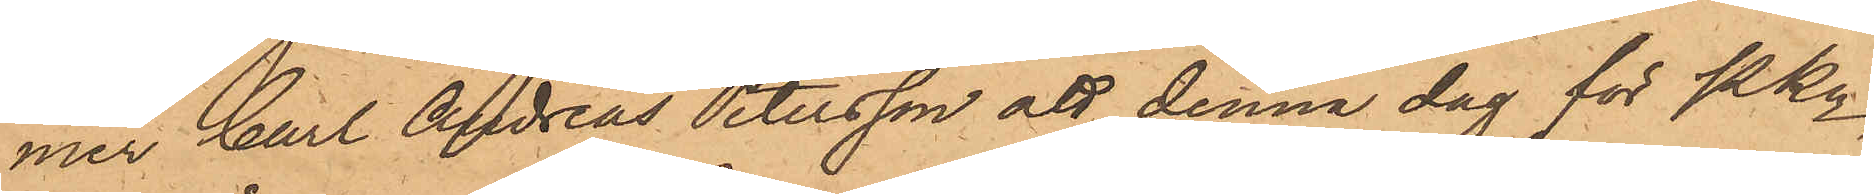mer Carl Andreas Petersson att denna dag för Pkn
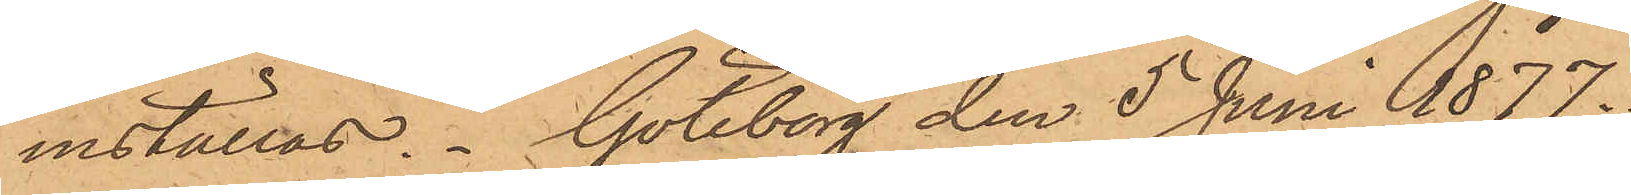inställas. Göteborg den 5 Juni 1877.
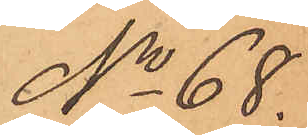No 68.
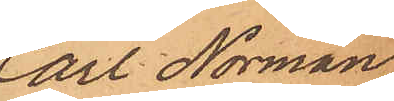Carl Norman
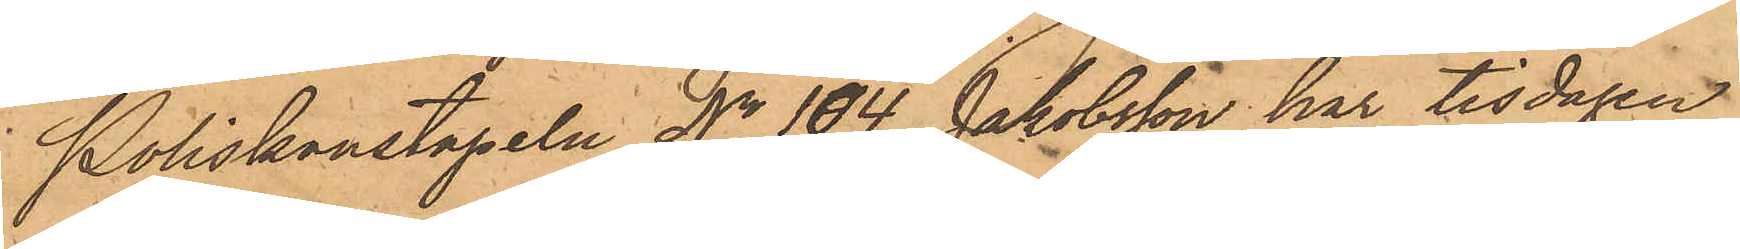Poliskonstapeln No 104 Jakobsson har tisdagen
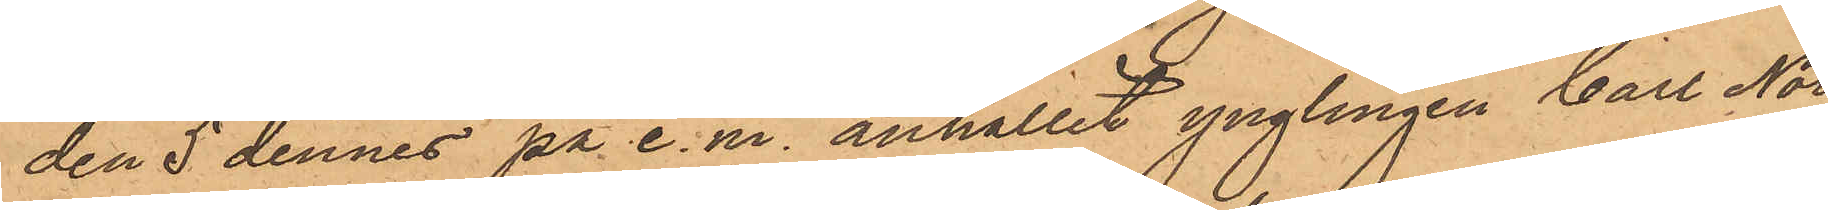den 5 dennes på e. m. anhållit ynglingen Carl Nor¬
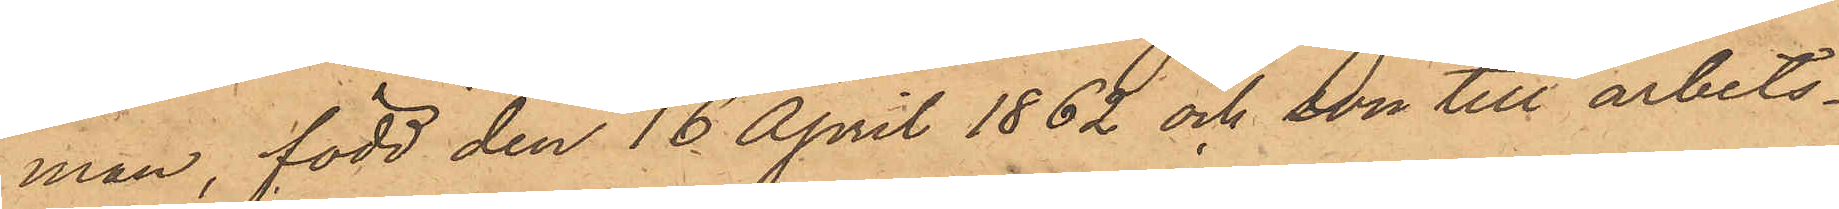man, född den 16 April 1862 och son till arbets¬
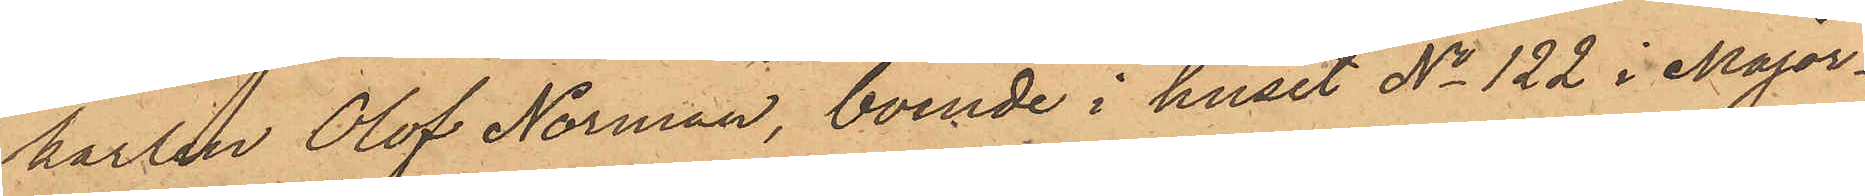karlen Olof Norman, boende i huset No 122 i Major¬
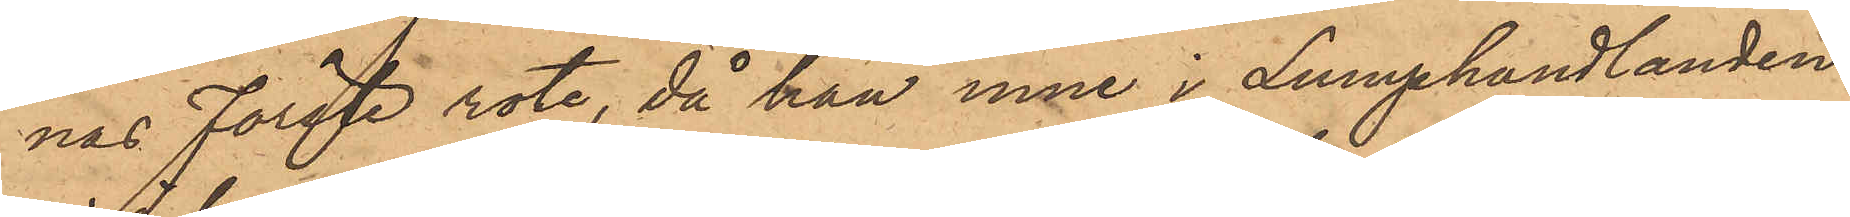nas Förste rote, då han inne i Lumphandlanden
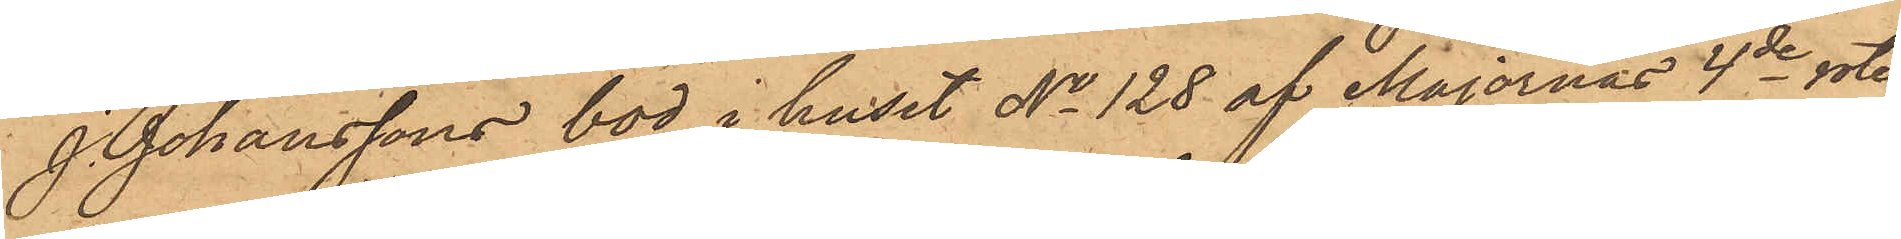J. Johanssons bod i huset No 128 af Majornas 4de rote
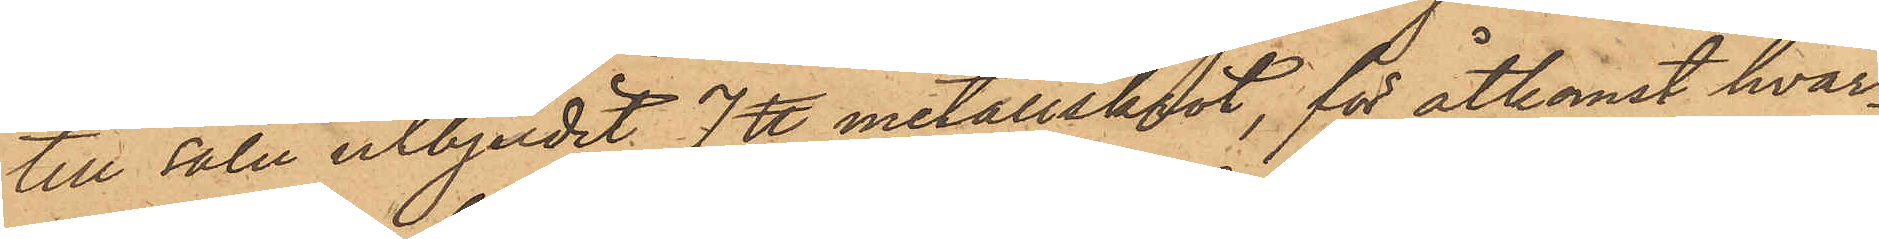till salu utbjudit 7 ℔ metallskrot, för åtkomst hvar¬
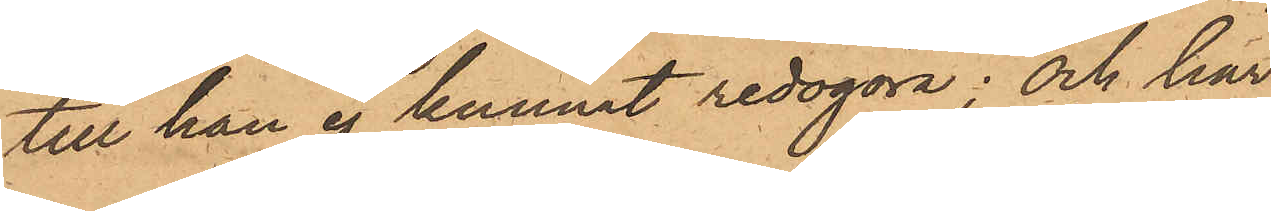till han ej kunnat redogöra; och har
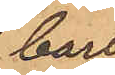Carl
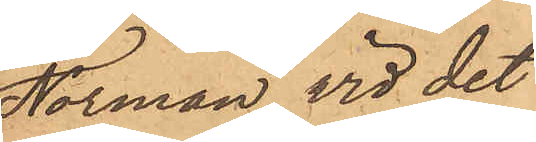Norman vid det
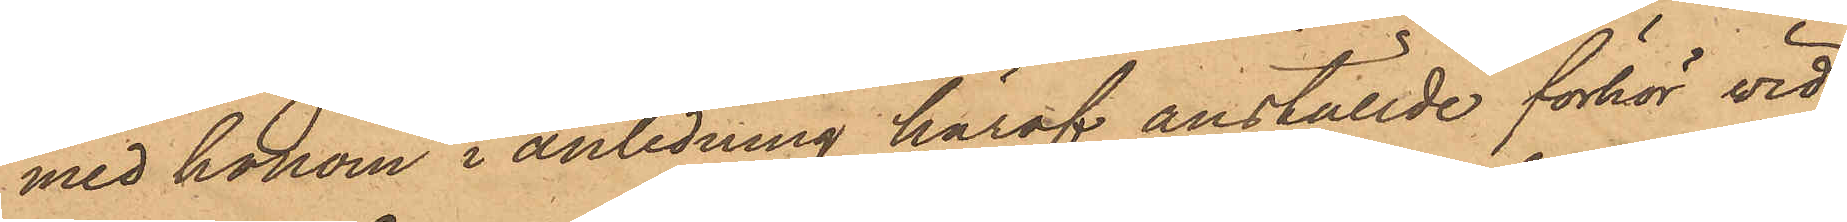med honom i anledning häraf anställde förhör vid¬
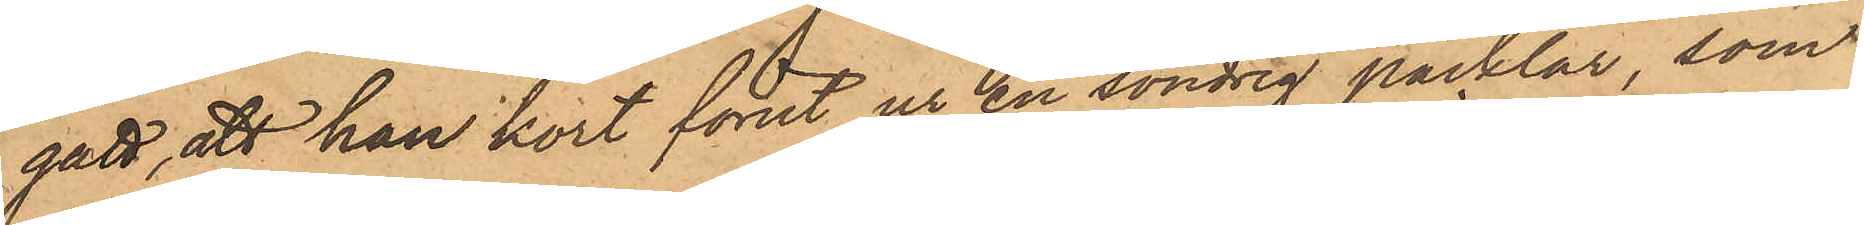gått, att han kort förut ur en söndrig packlår, som
